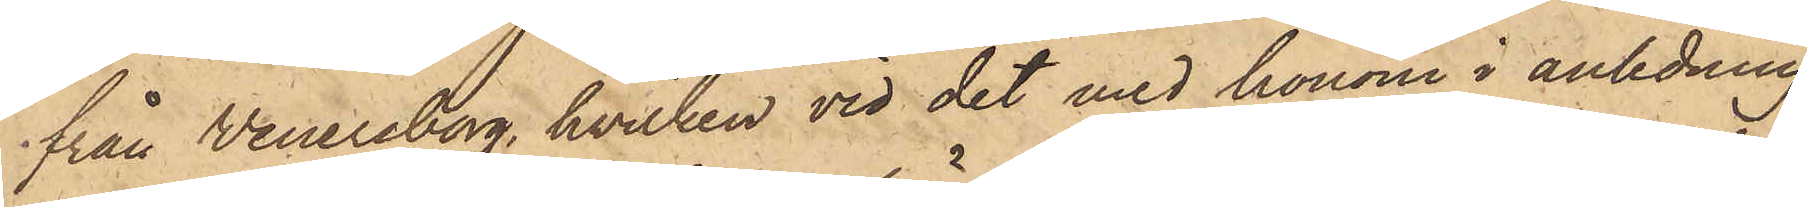från Wenersborg, hvilken vid det med honom i anledning
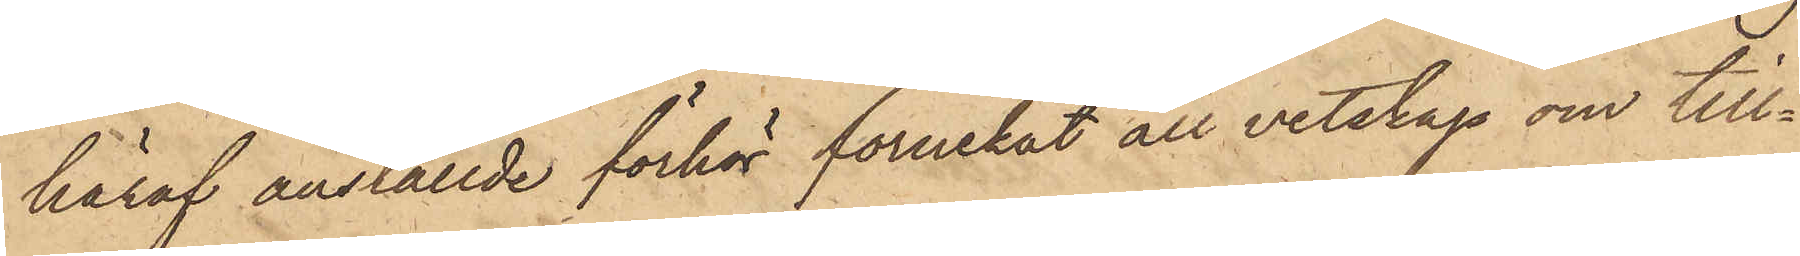häraf anställde förhör förnekat all vetskap om till¬
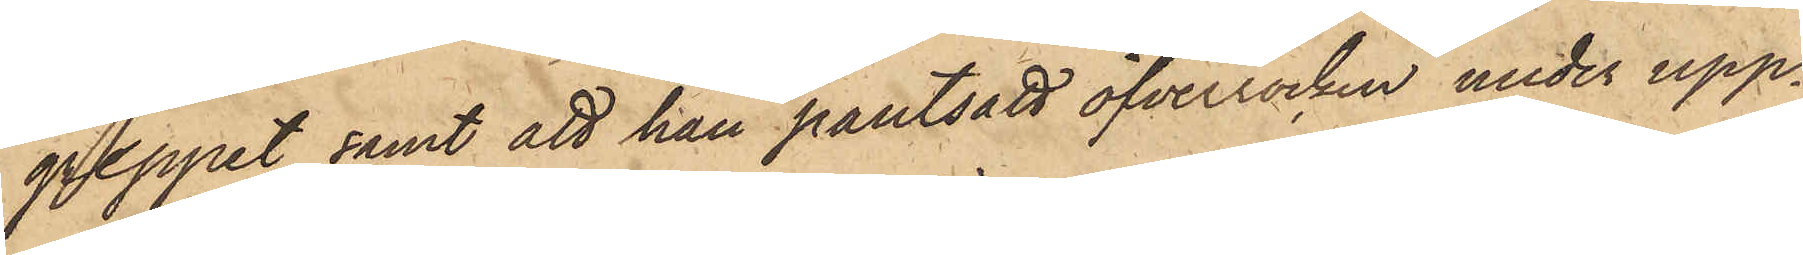greppet samt att han pantsatt öfverrocken under upp¬
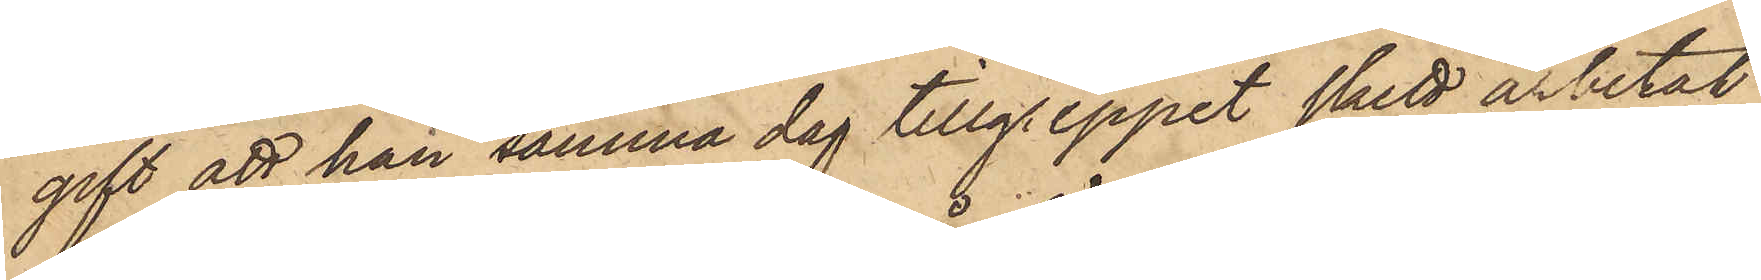gift att han samma dag tillgreppet skett arbetat
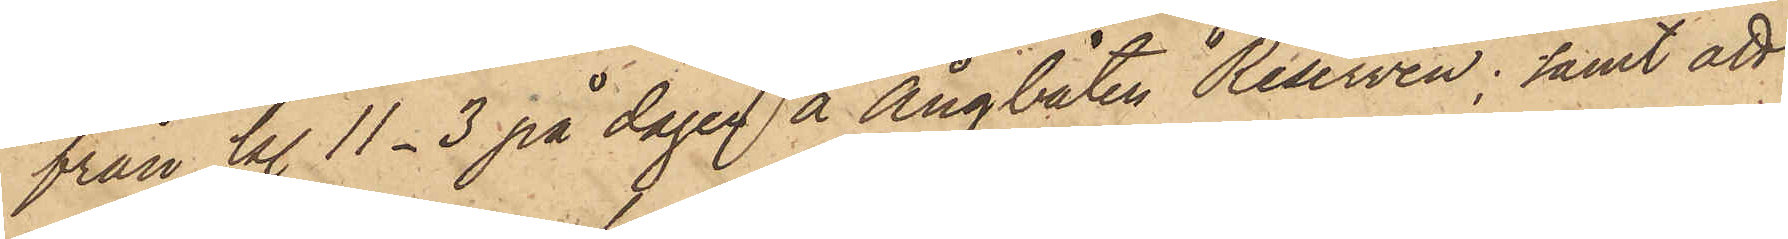från kl. 11-3 på dagen å ångbåten "Reserven"; samt att
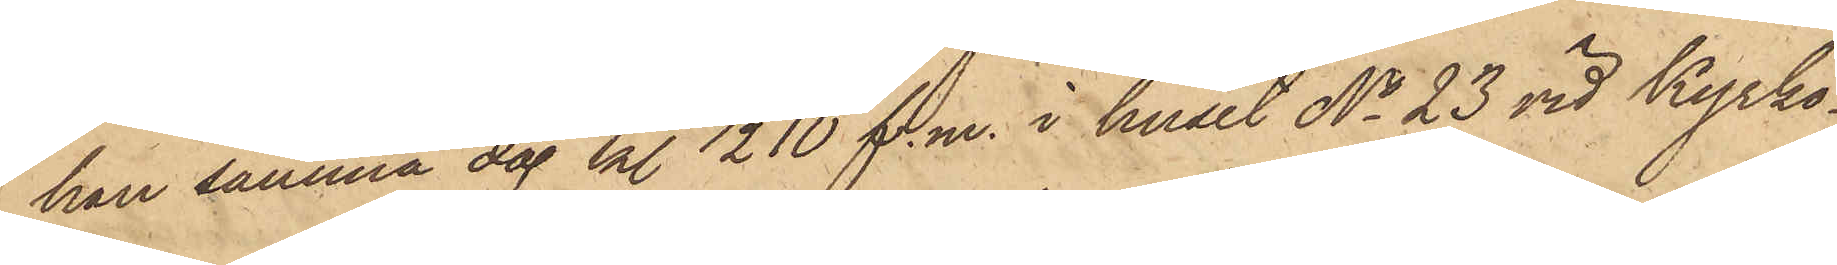han samma dag kl. ½10 f. m. i huset No 23 vid Kyrko¬
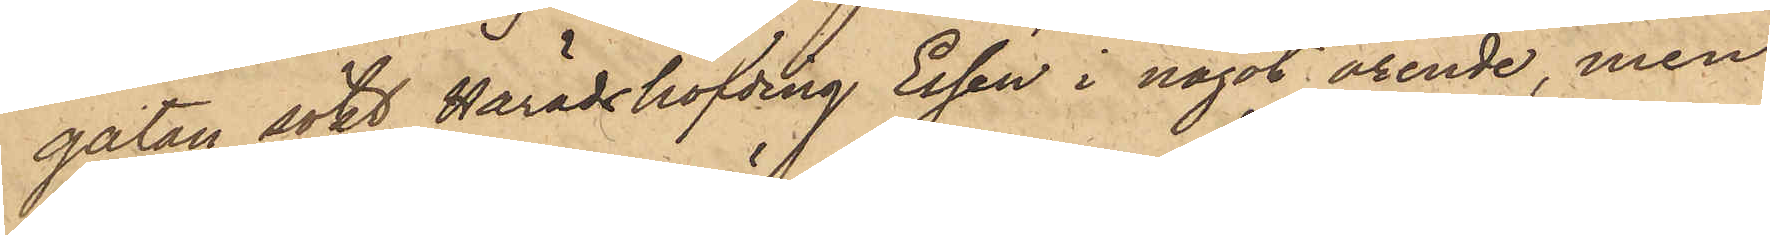gatan sökt Häradshöfding Essén i något ärende, men
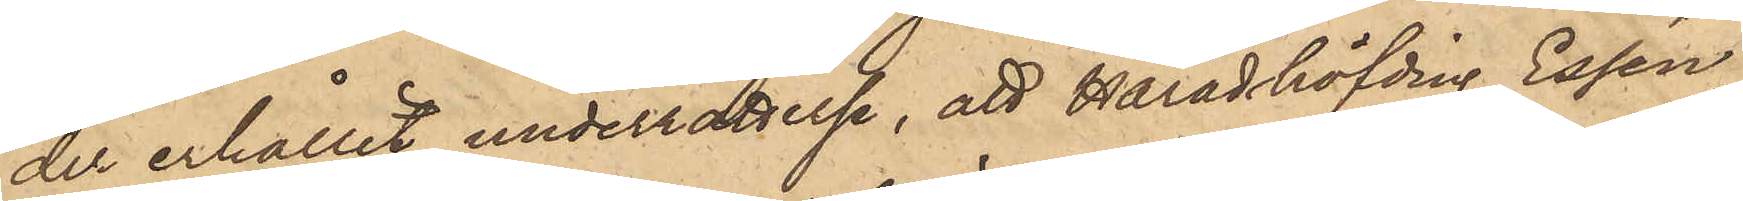der erhållit underrättelse, att Häradshöfding Essén
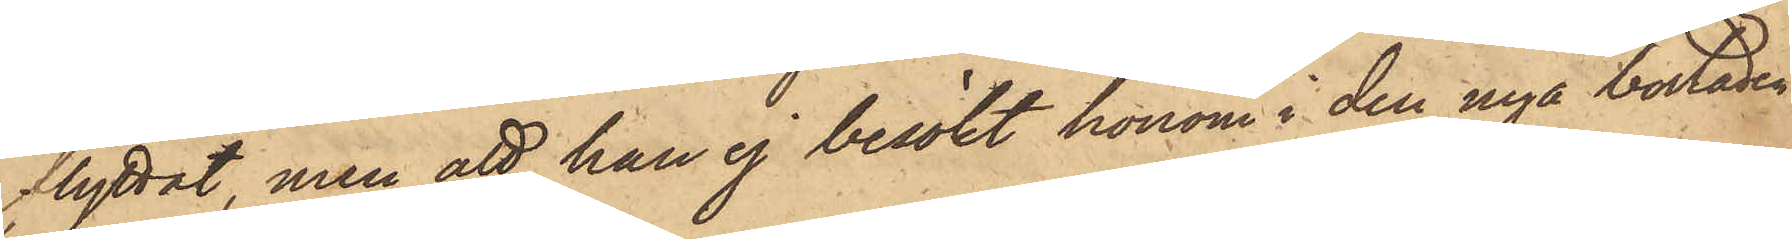flyttat, men att han ej besökt honom i den nya bostaden.
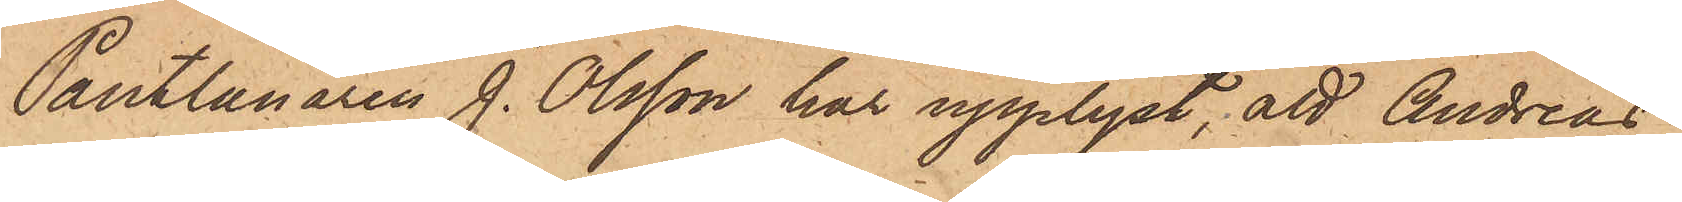Pantlånaren J. Olsson har upplyst, att Andreas
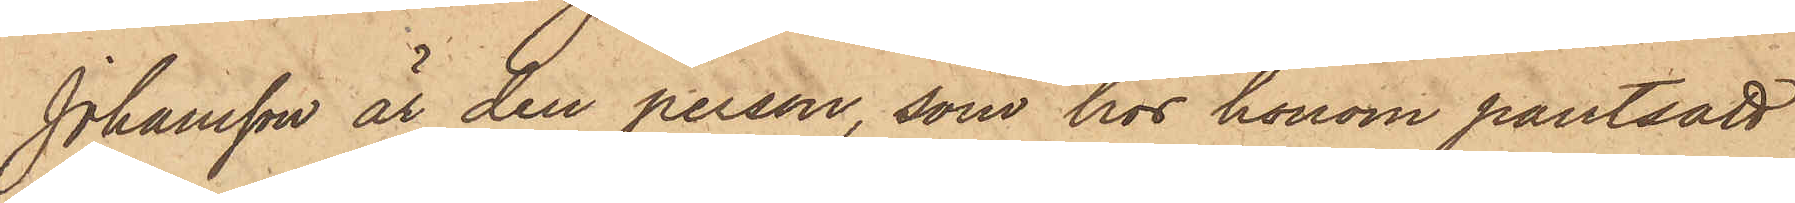Johansson är den person, som hos honom pantsatt
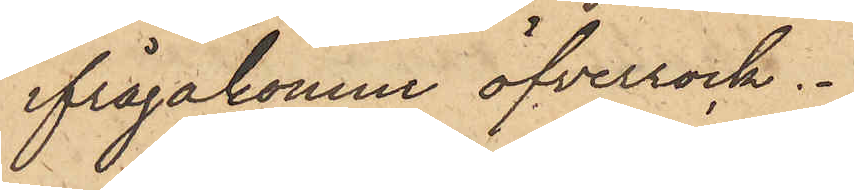ifrågakomne öfverrock.
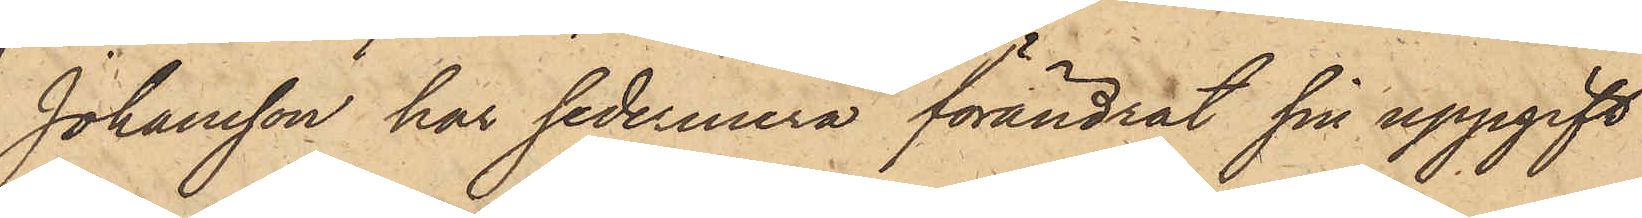Johansson har sedermera förändrat sin uppgift
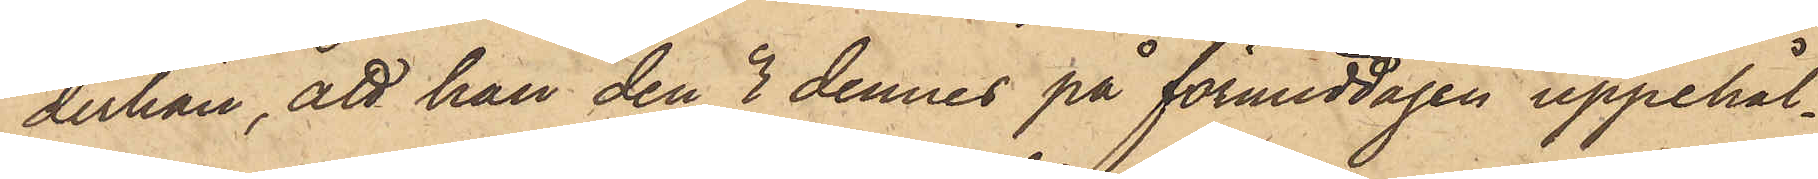derhän, att han den 3 dennes på förmiddagen uppehål¬
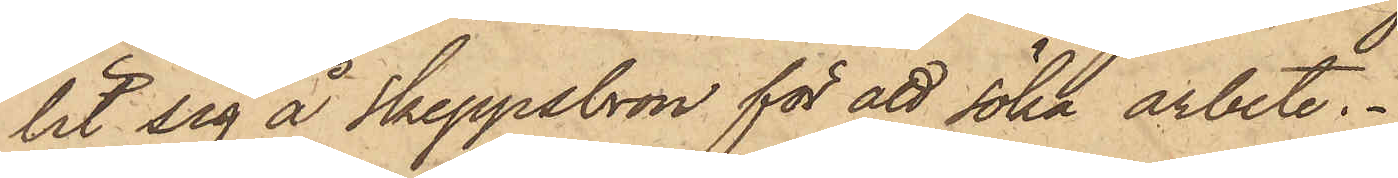lit sig å Skeppsbron för att söka arbete.
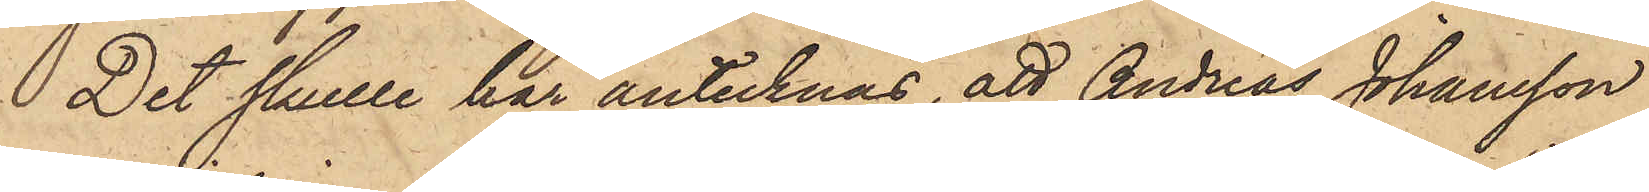Det skulle här antecknas, att Andreas Johansson
